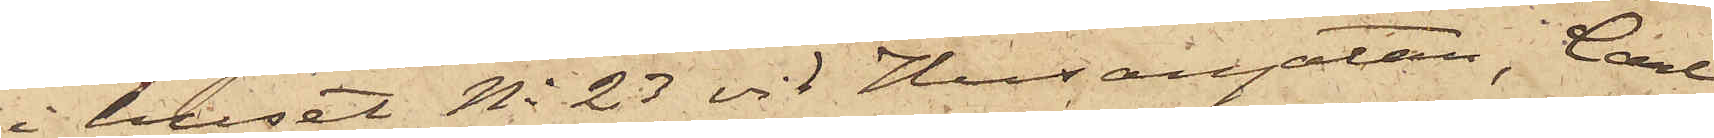i huset No 23 vid Husargatan, Carl
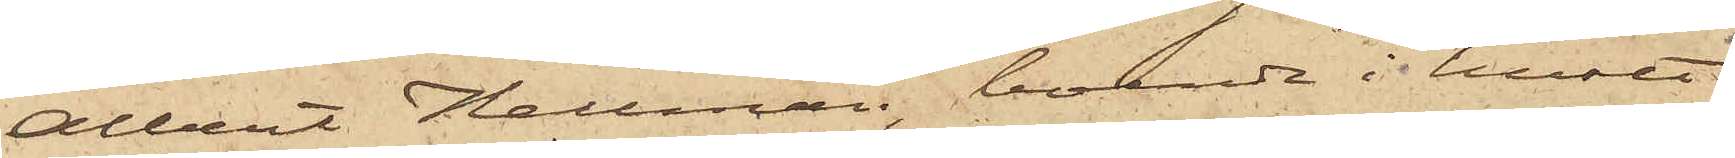Albert Hellman, boende i huset
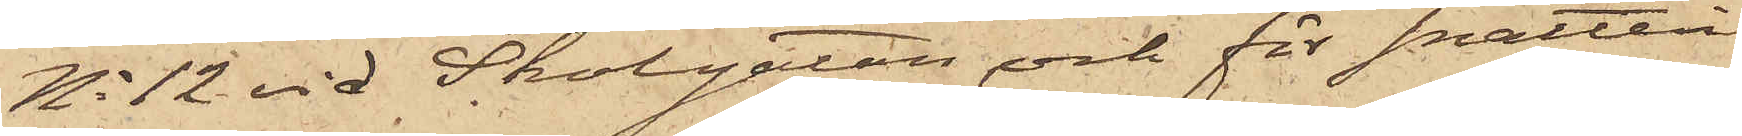No 12 vid Skolgatan och för snatteri
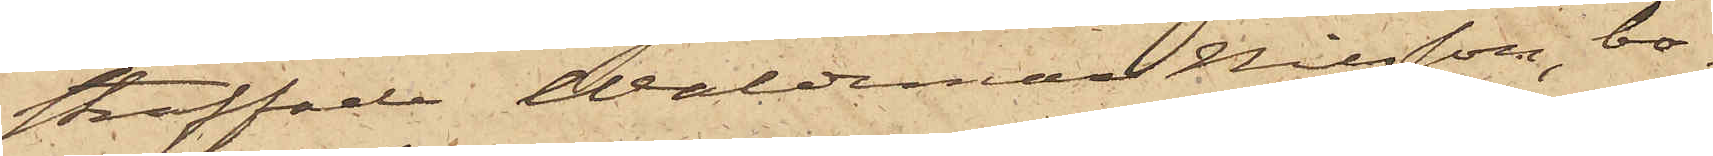straffade Waldemar Nilsson, bo¬
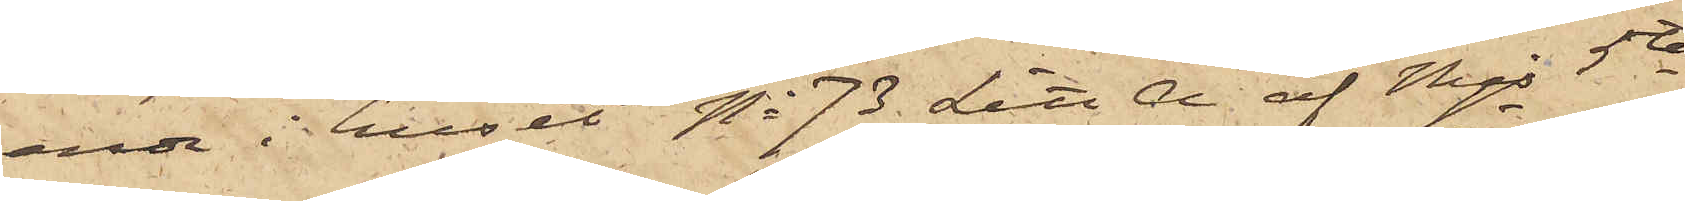ende i huset No 73 Litt A af Mjs 5te
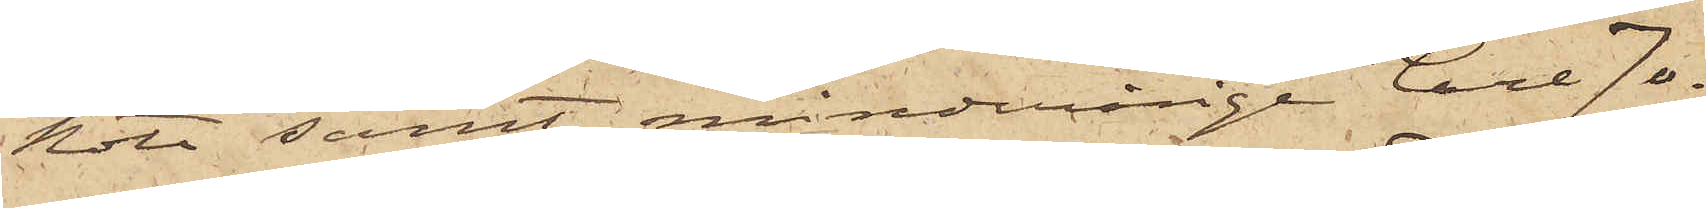Rote, samt minderårige Carl Jo¬
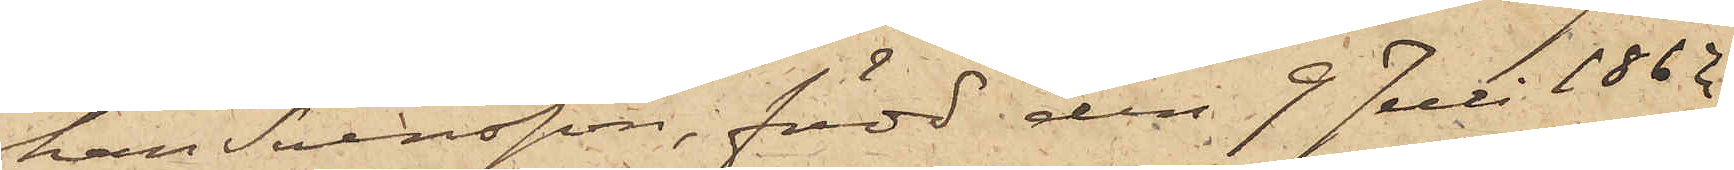han Svensson, född den 9 Juli 1862
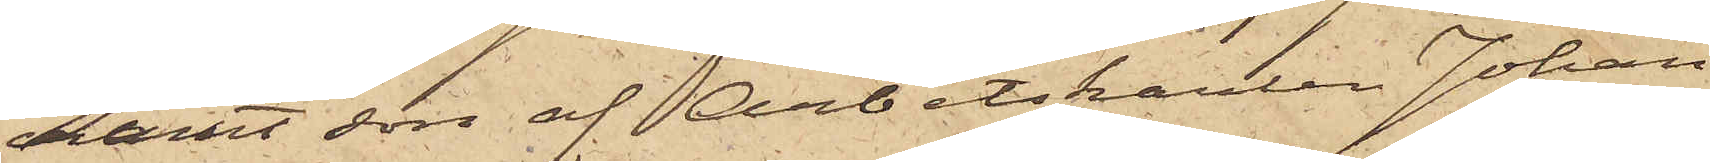samt son af Arbetskarlen Johan
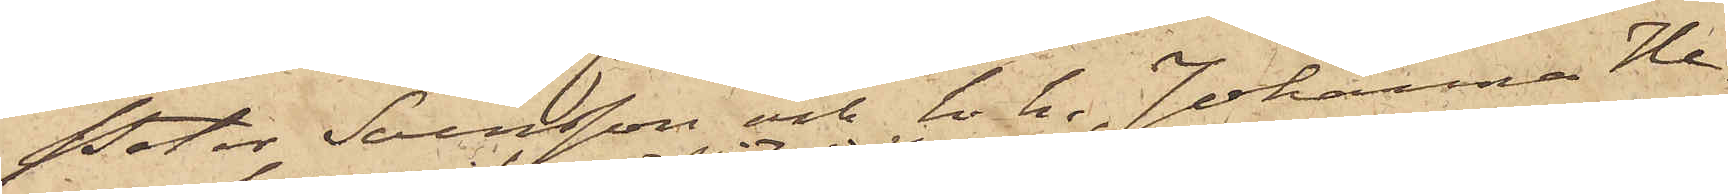Peter Svensson och h.h. Johanna He¬
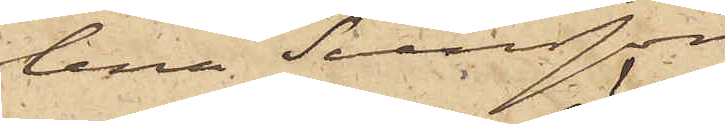lena Svensson,
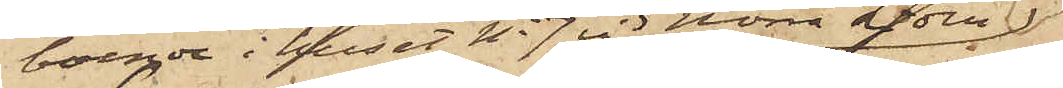boende i huset No 7 vid Norra Liden,
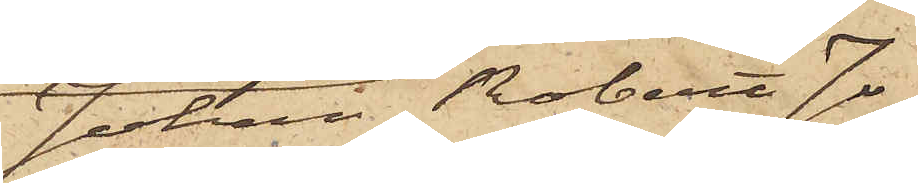Johan Robert Jo¬
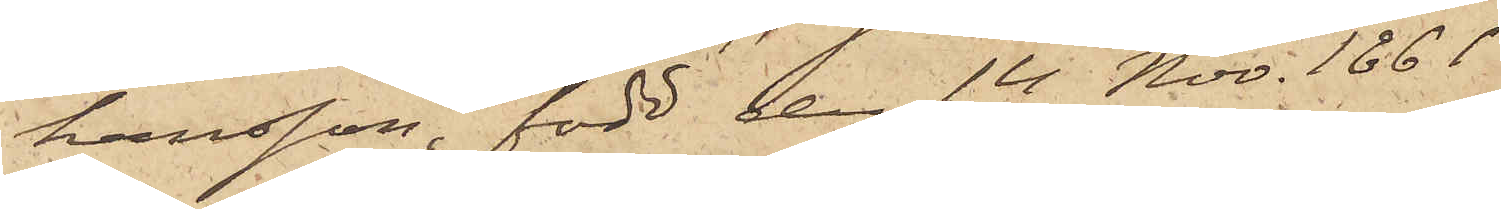hansson, född den 14 Nov. 1861
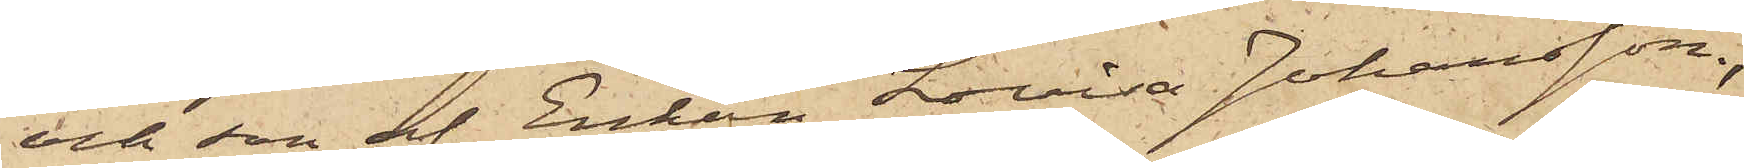och son af Enkan Lovisa Johansson,
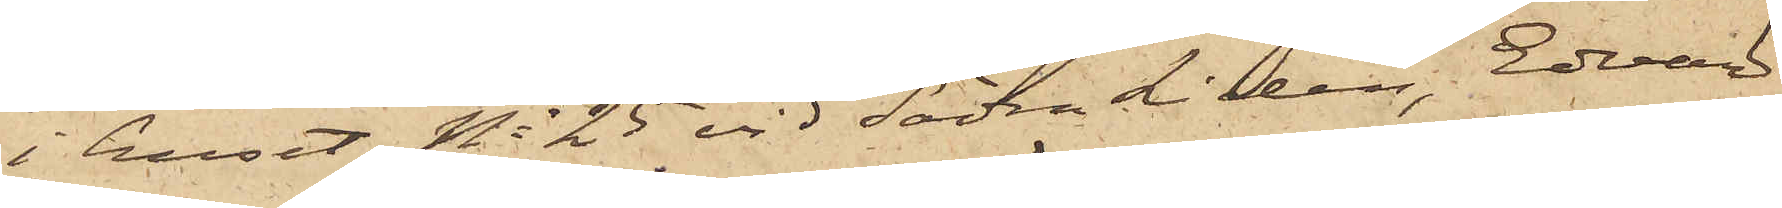i huset No 25 vid Södra Liden, Edvard
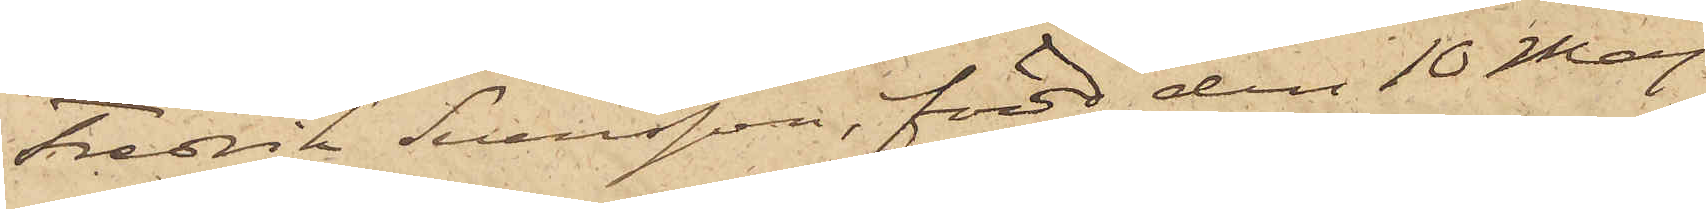Fredrik Svensson, född den 10 Maj
